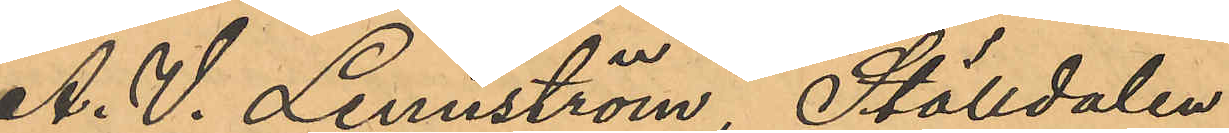A. V. Lennström, Ställdalen
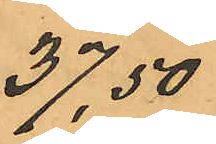37,50
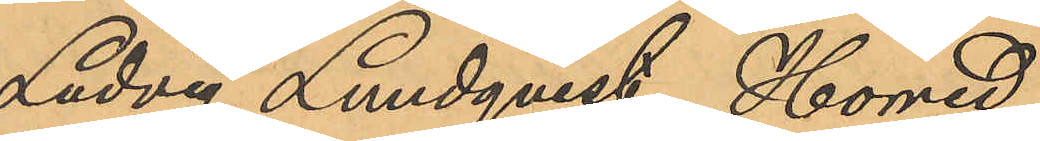Ludvig Lundqvist, Horred
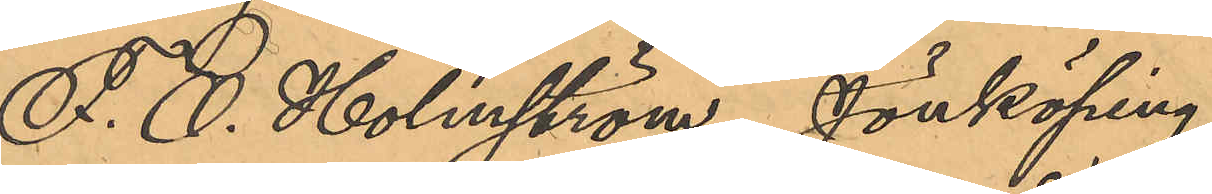F. O. Holmström, Jönköping
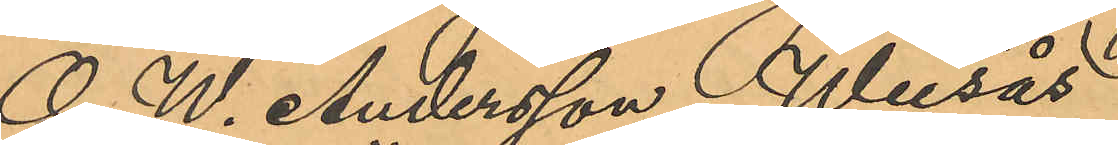O. W. Andersson, Weesås
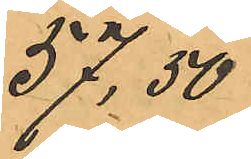57,50
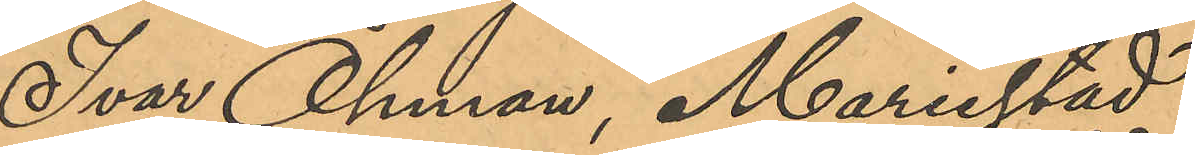Ivar Öhman, Mariestad
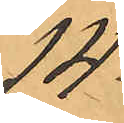14
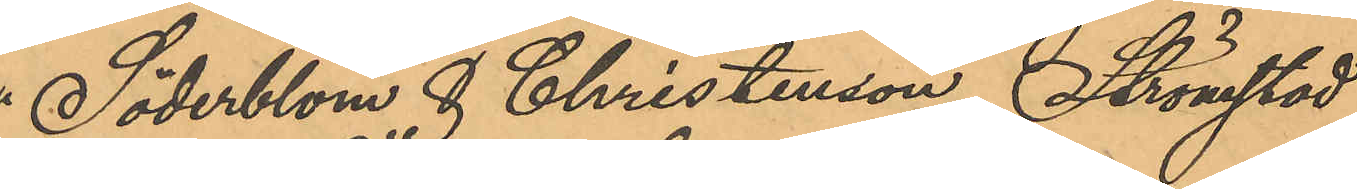Söderblom & Christenson, Strömstad
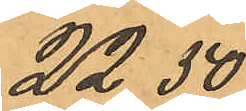22,50
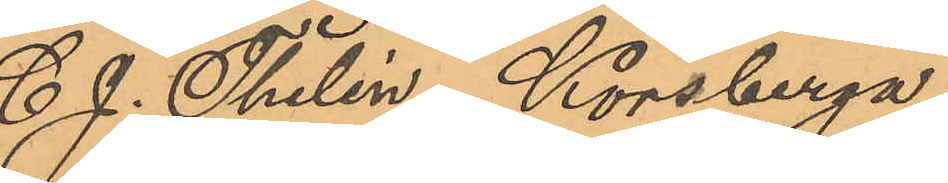C. J. Thelin, Korsberga
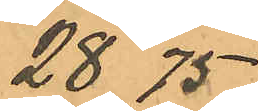28,75
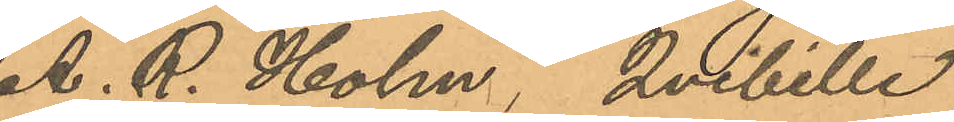A. R. Holm, Qvibille
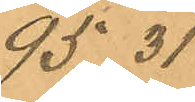95,31
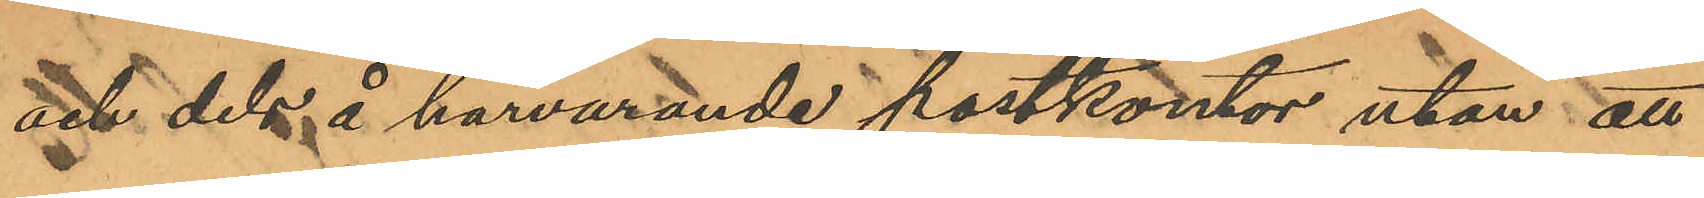och dels å härvarande postkontor utan att
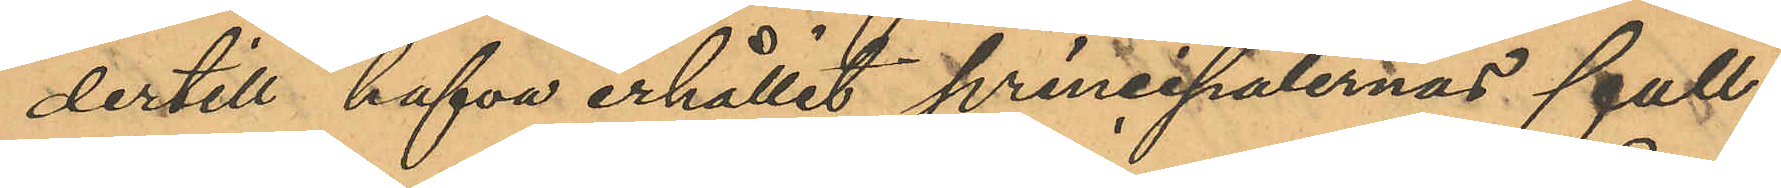dertill hafva erhållit principalernas full¬
